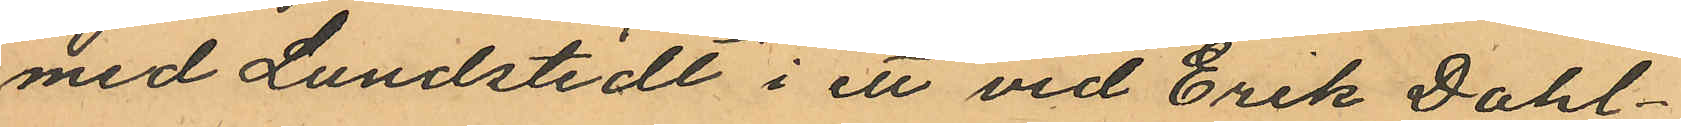med Lundstedt i ett vid Erik Dahl¬
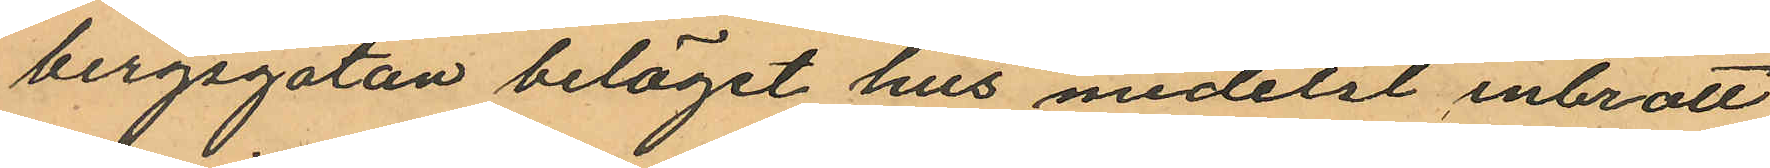bergsgatan beläget hus medelst inbrott
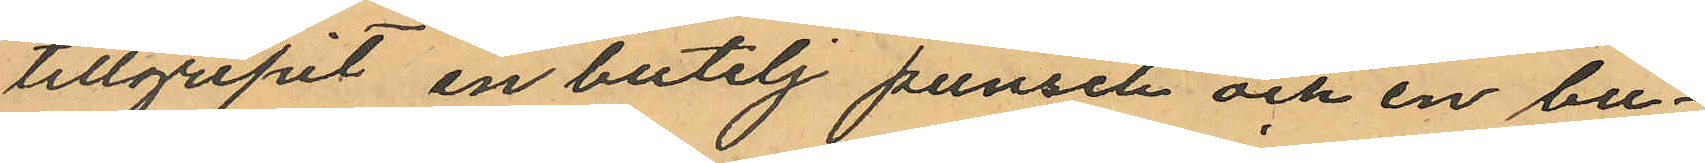tillgripit en butelj punsch och en bu¬
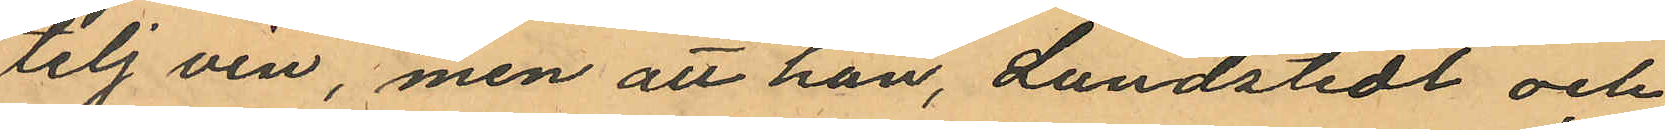telj vin, men att han, Lundstedt och
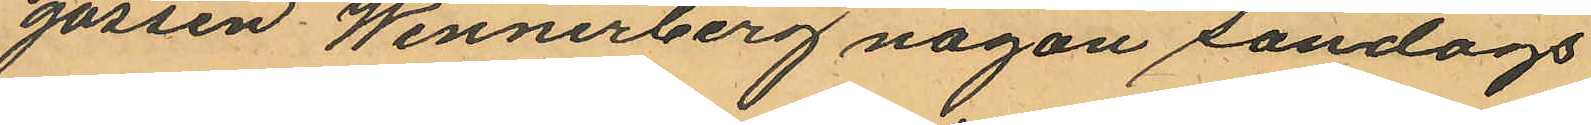gossen Wennerberg någon söndags
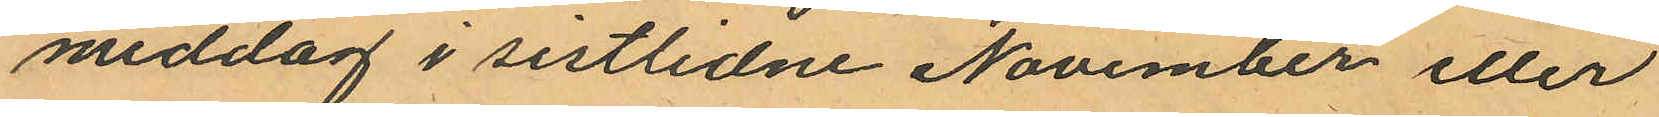middag i sistlidne November eller
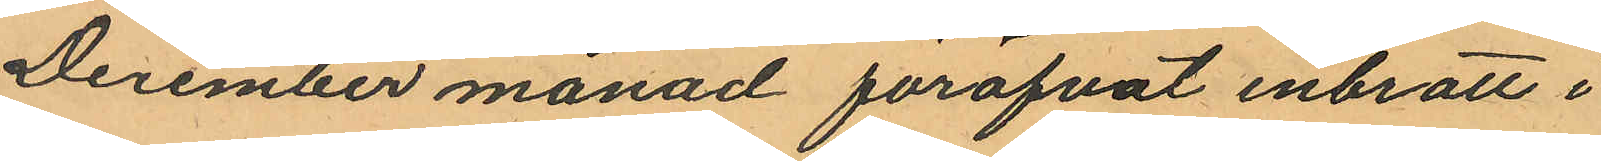December månad föröfvat inbrott i
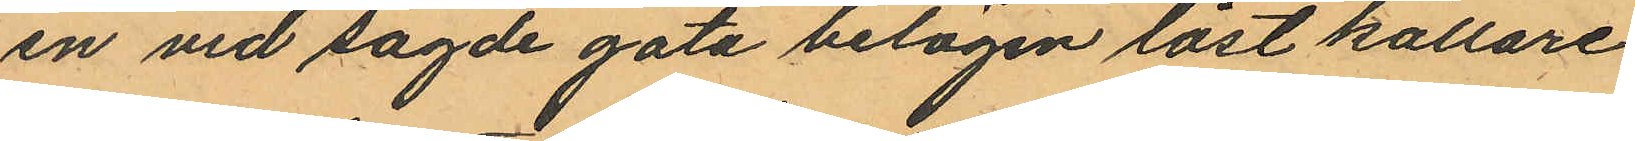en vid sagde gata belägen låst källare
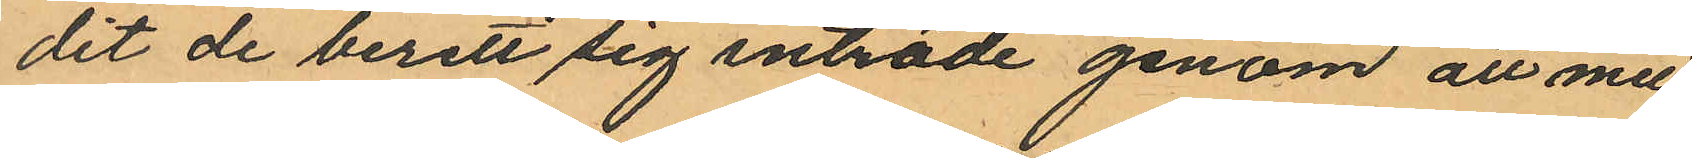dit de berett sig inträde genom att med
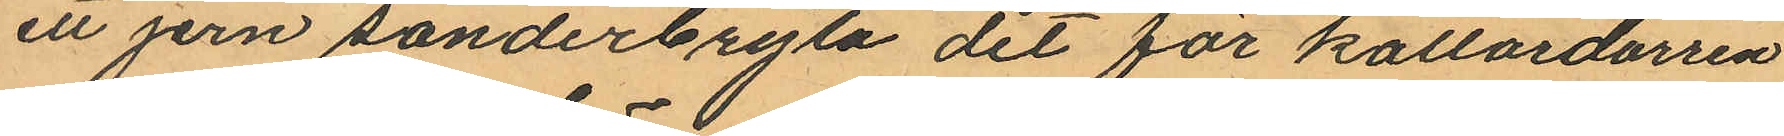ett jern sönderbryta det för källardörren
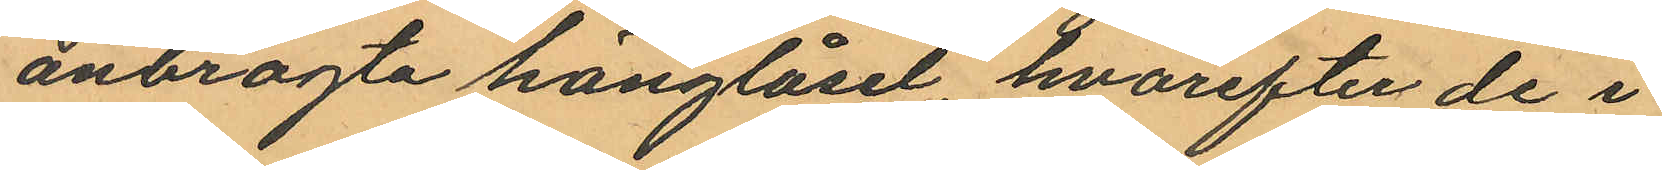anbragta hänglåset, hvarefter de i
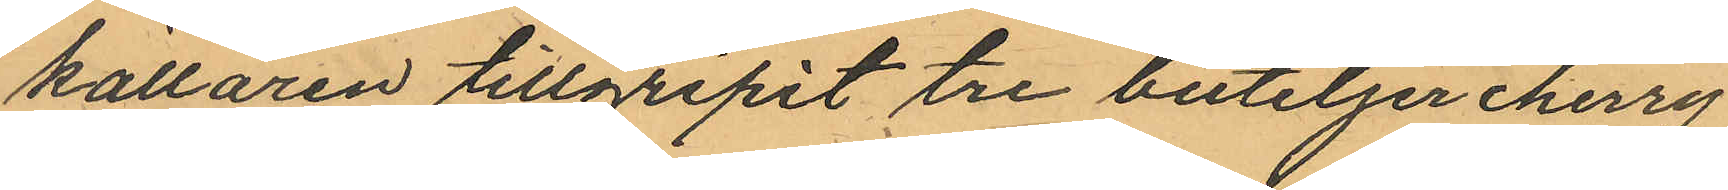källaren tillgripit tre buteljer cherry
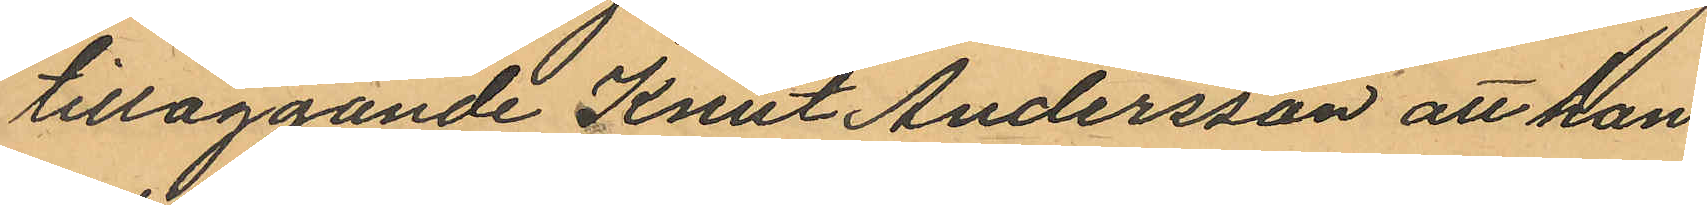tilläggande Knut Andersson att han
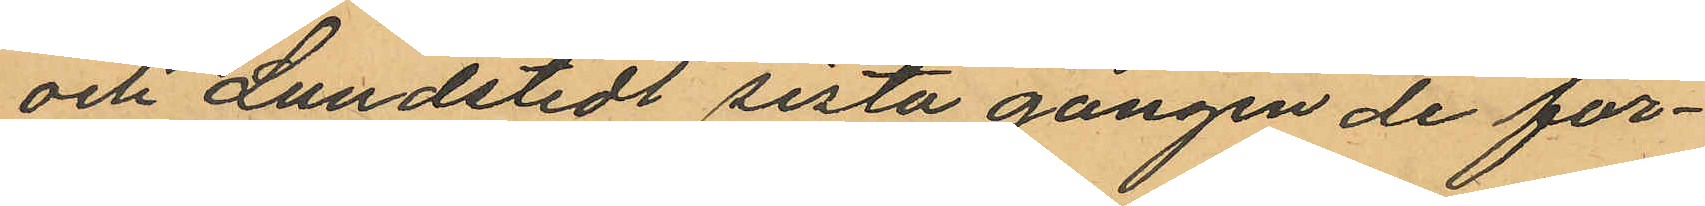och Lundstedt sista gången de för¬
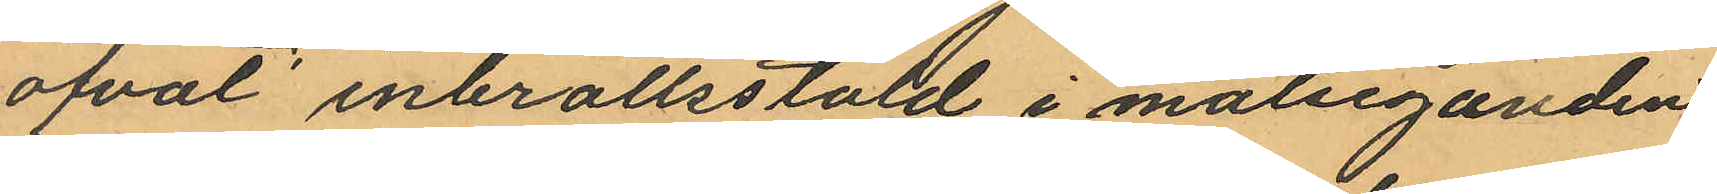öfvat inbrottsstöld i målseganden
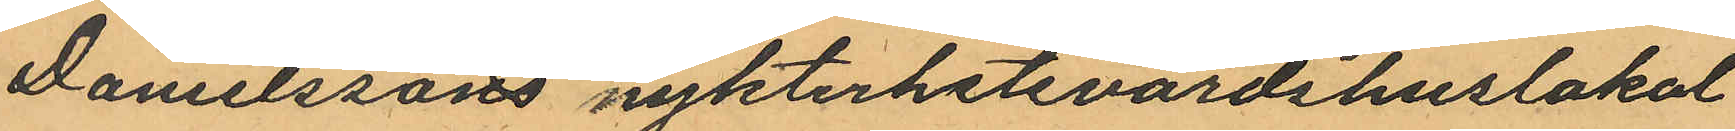Danelssons nykterhetsvärdshuslokal
